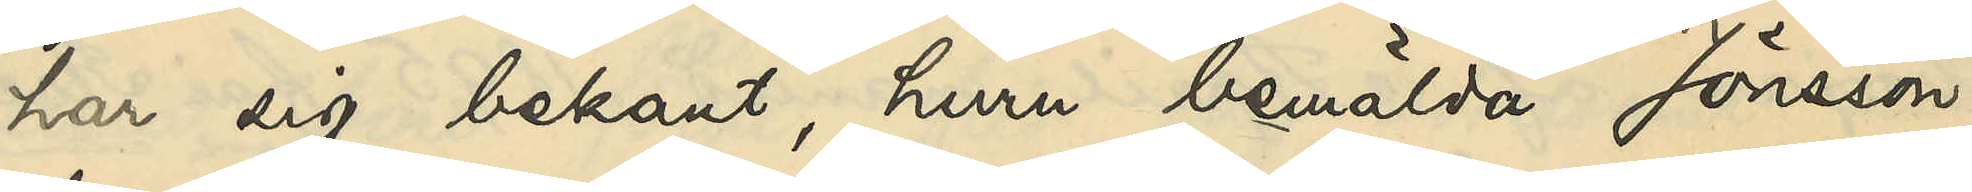har sig bekant, huru bemälda Jönsson
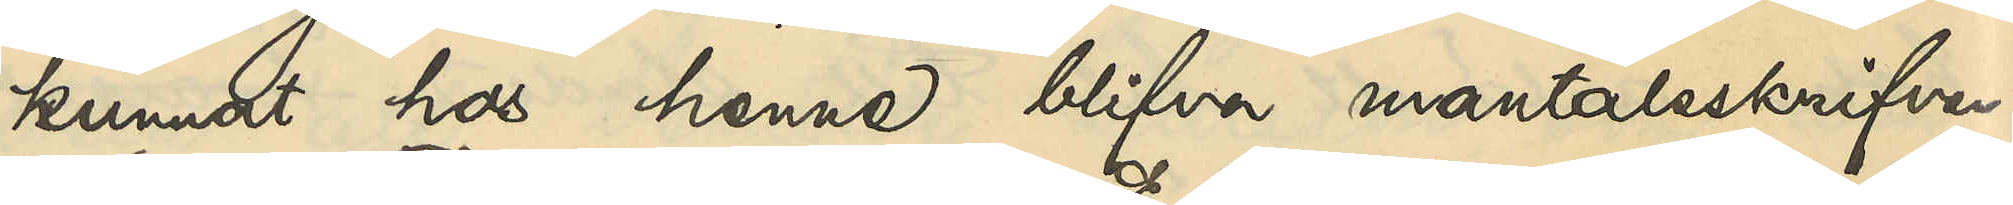kunnat hos henne blifva mantalsskrifven.
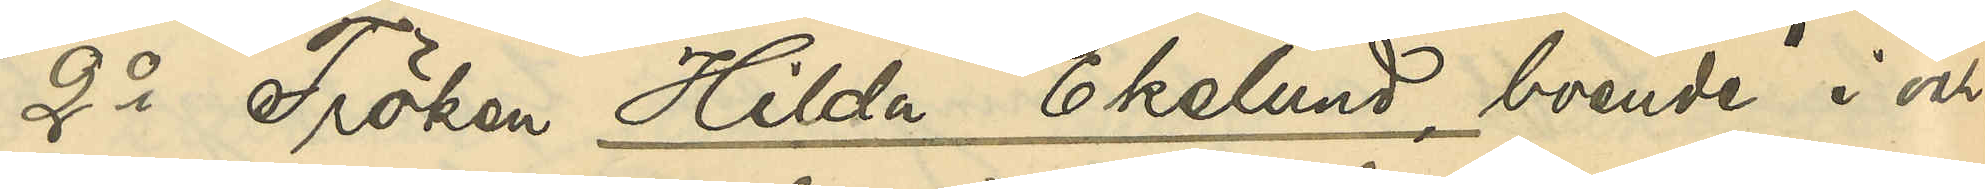2o Fröken Hilda Ekelund, boende i och
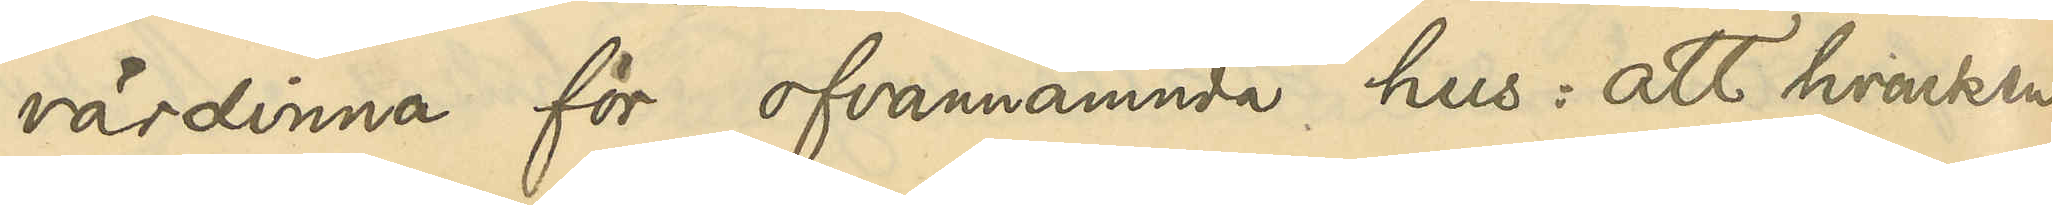värdinna för ofvannämnda hus: att hvarken
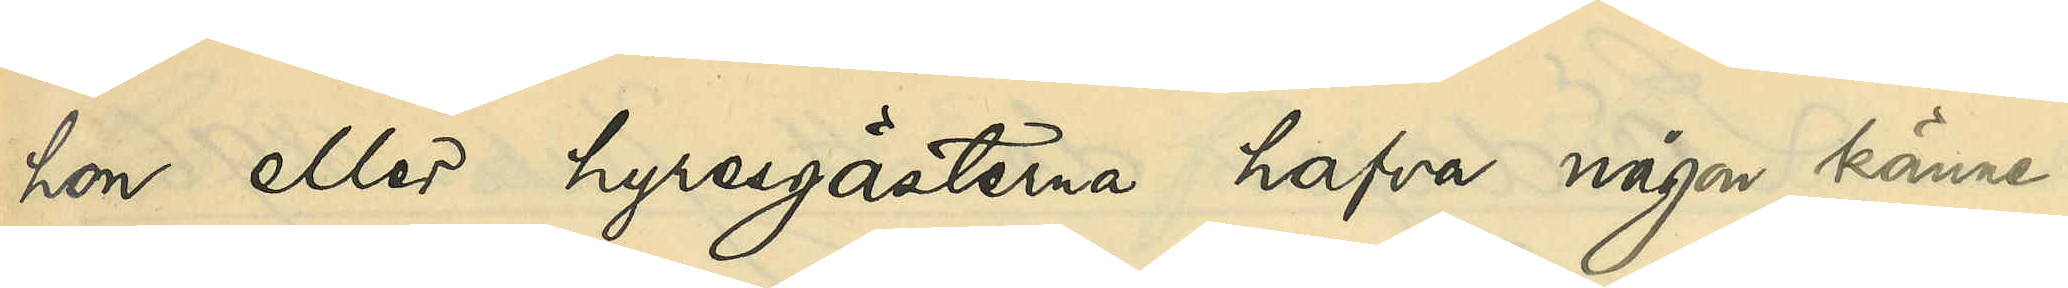hon eller hyresgästerna hafva någon känne¬
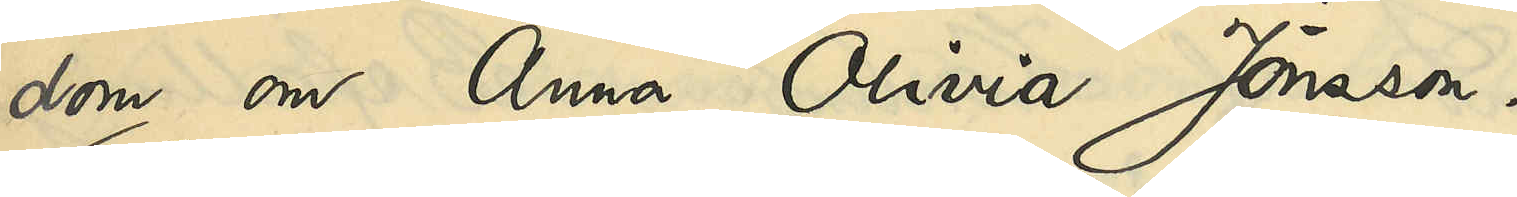dom om Anna Olivia Jönsson.
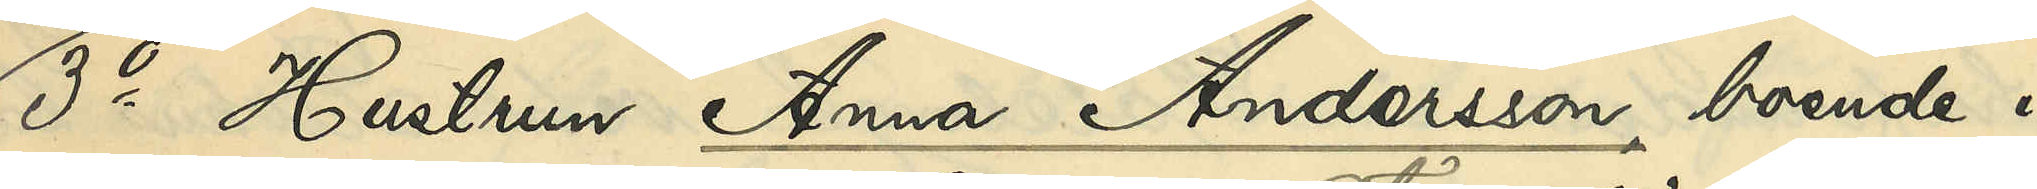3o Hustrun Anna Andersson, boende i
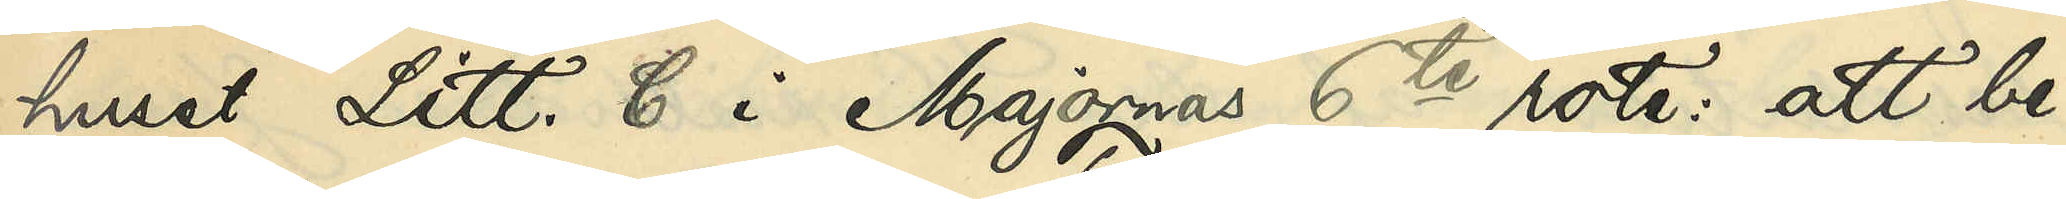huset Litt. C i Majornas 6te rote: att be¬
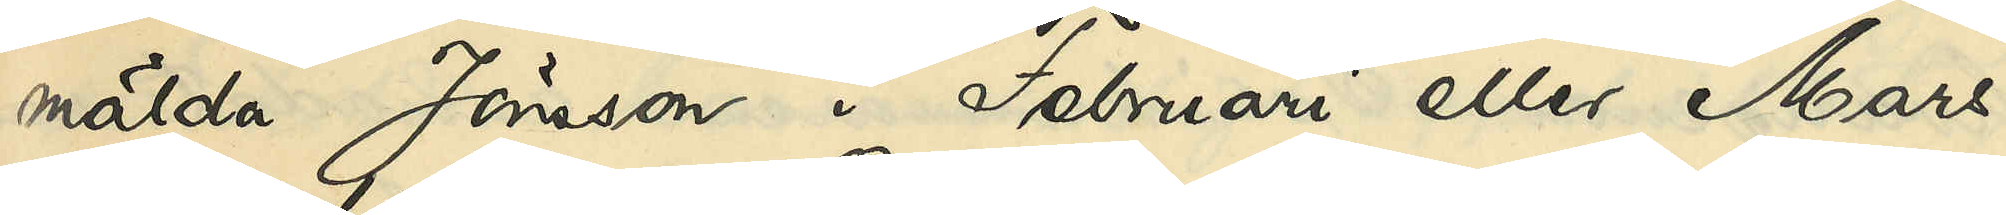mälda Jönsson i Februari eller Mars
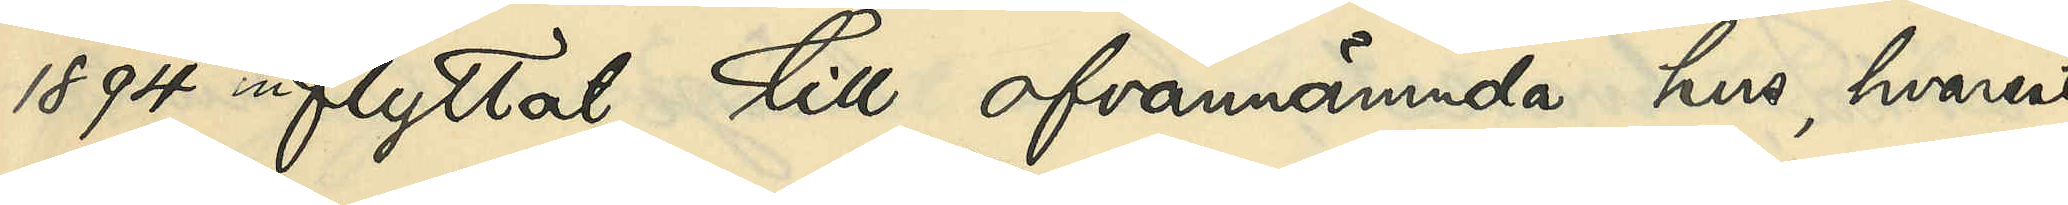1894 inflyttat till ofvannämnda hus, hvarest
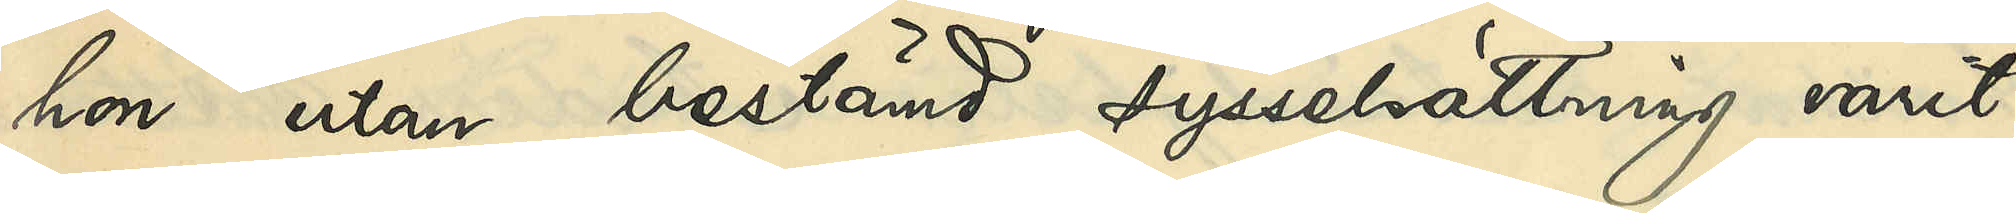hon utan bestämd sysselsättning varit
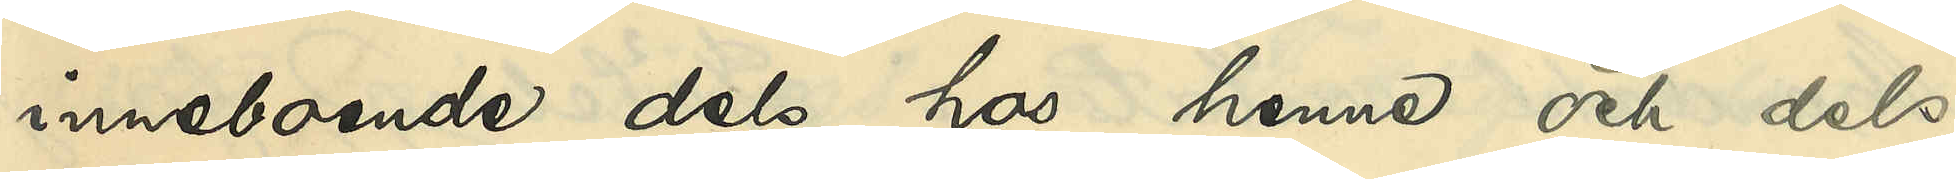inneboende dels hos henne och dels
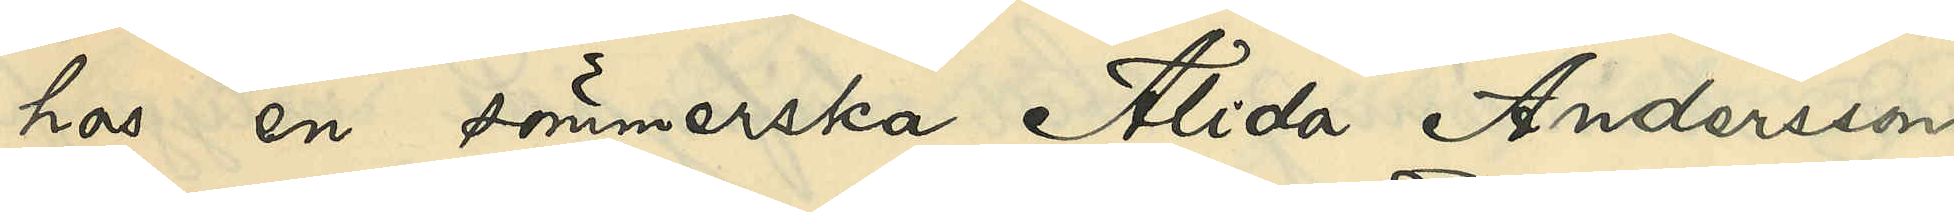hos en sömmerska Alida Andersson
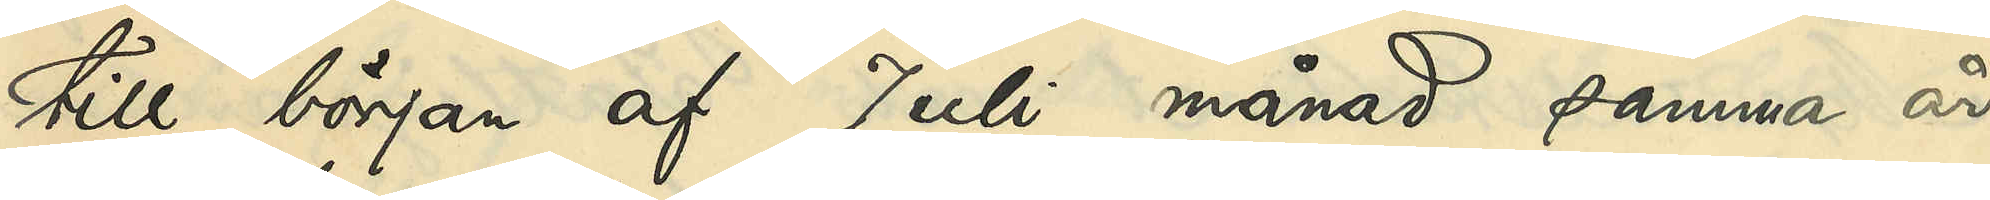till början af Juli månad samma år,
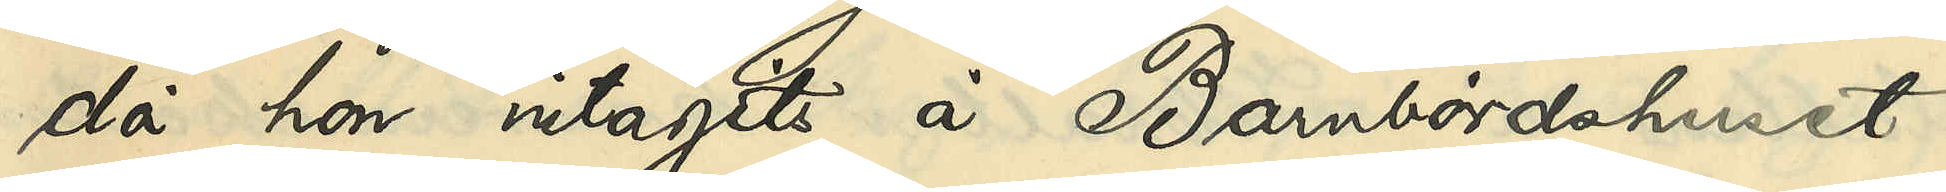då hon intagits å Barnbördshuset
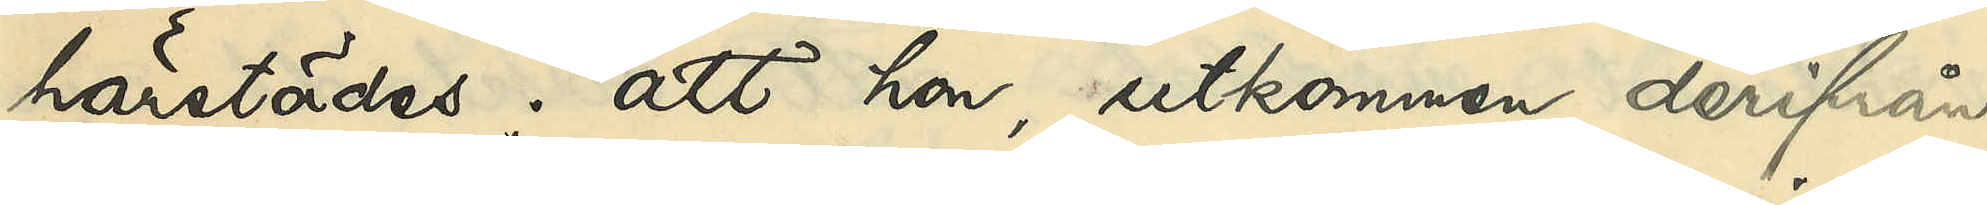härstädes; att hon, utkommen derifrån
